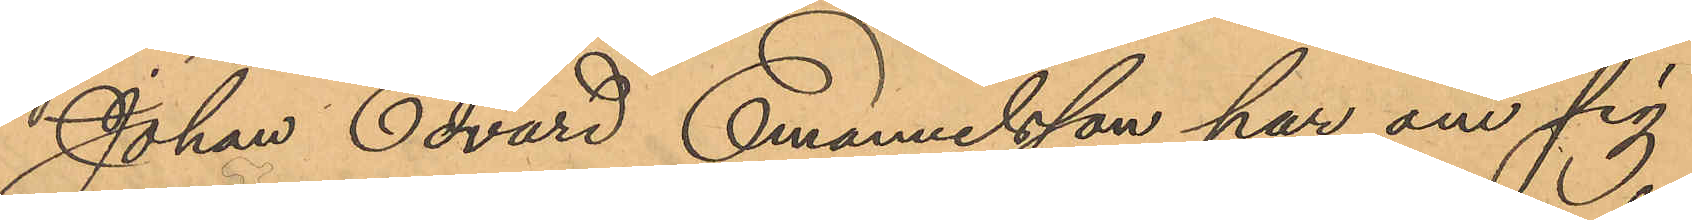Johan Edvard Emanuelsson har om sig
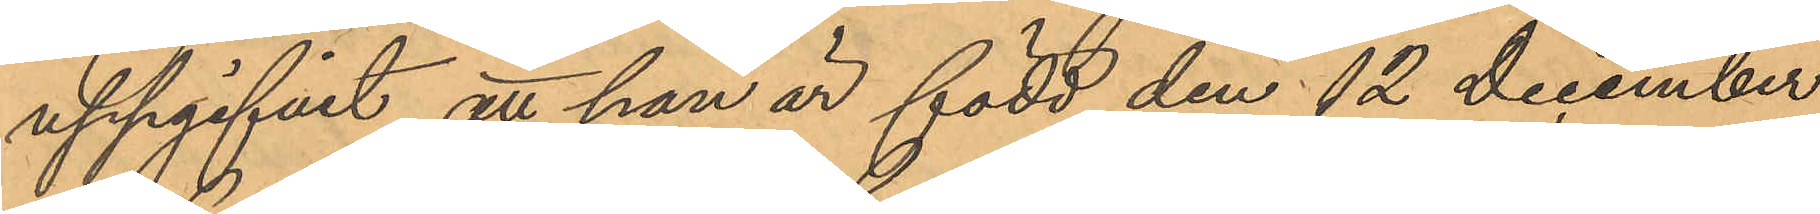uppgifvit att han är född den 12 December
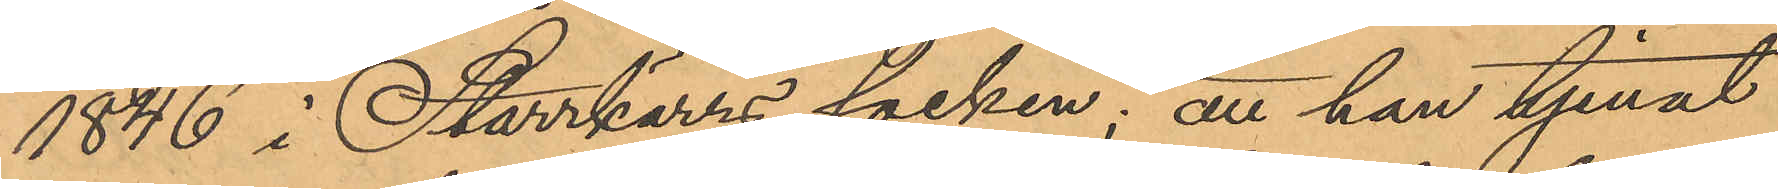1846 i Starrkärrs socken; att han tjenat
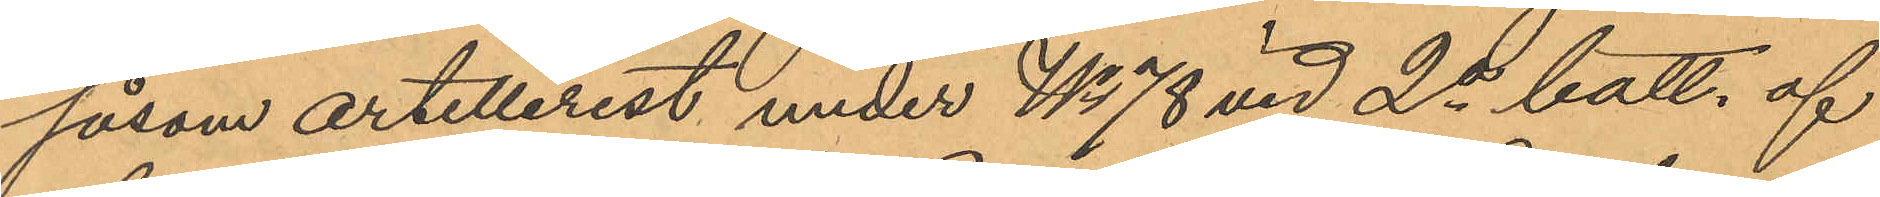såsom artillerist under No 78 vid 2a batt. af
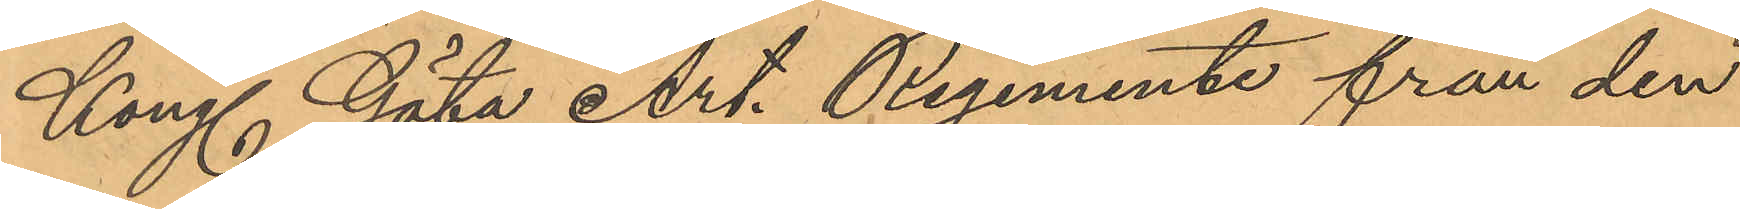Kongl. Göta Art. Regemente från den
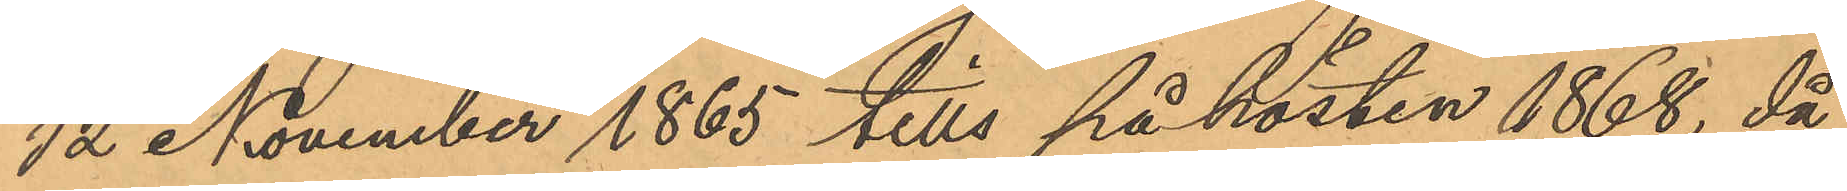12 November 1865 tills på hösten 1868, då
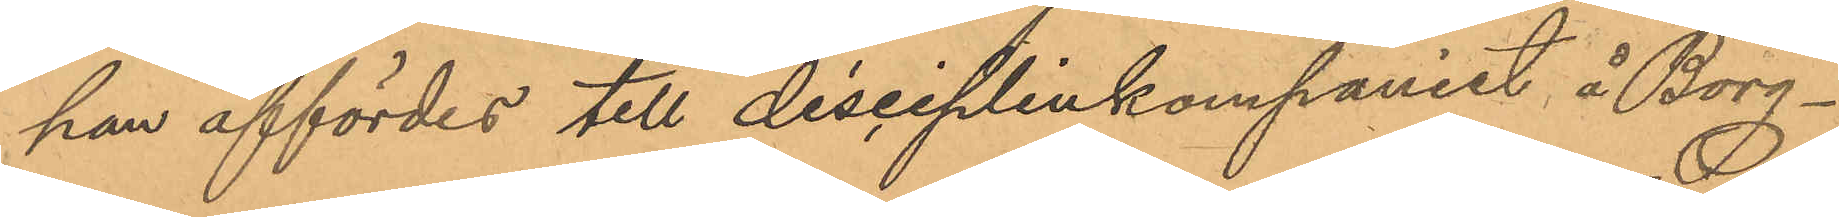han affördes till disciplinkompaniet å Borg¬
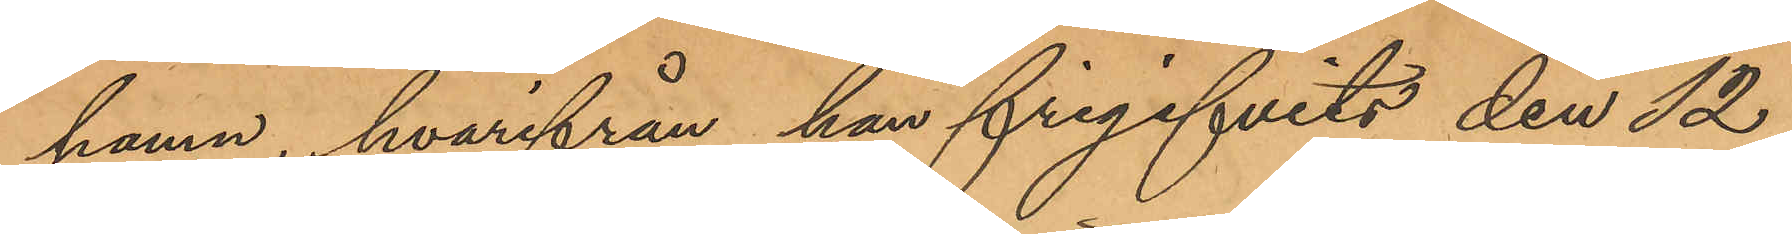hamn, hvarifrån han frigifvits den 12
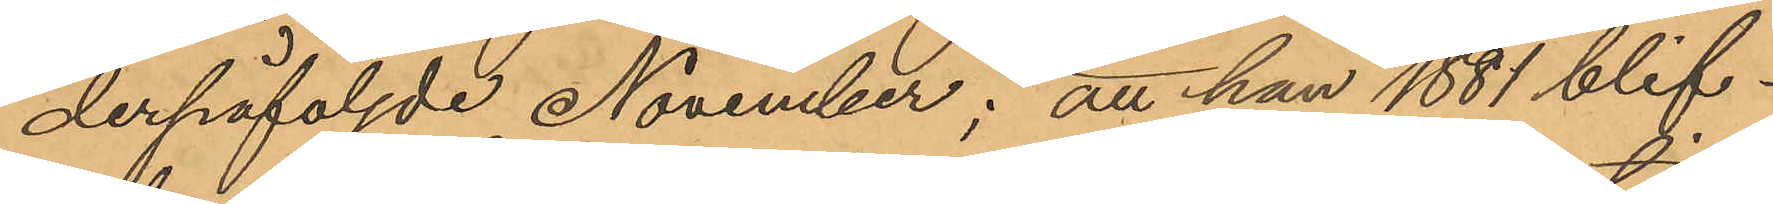derpåföljde November; att han 1881 blif¬
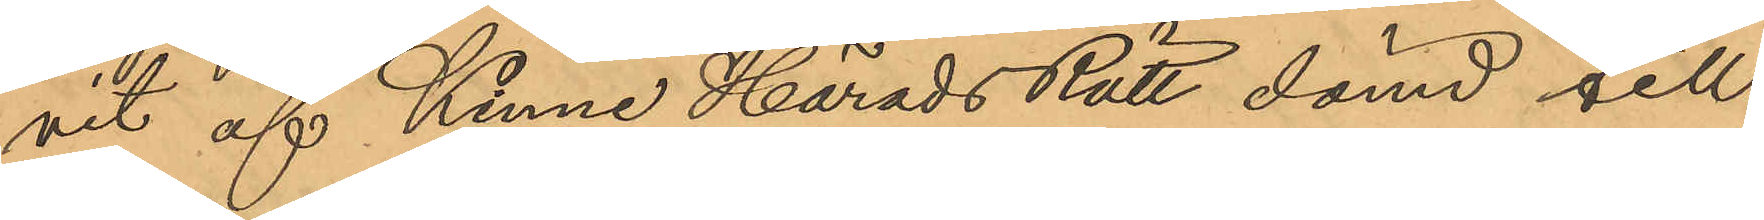vit af Kinne Härads Rätt dömd till
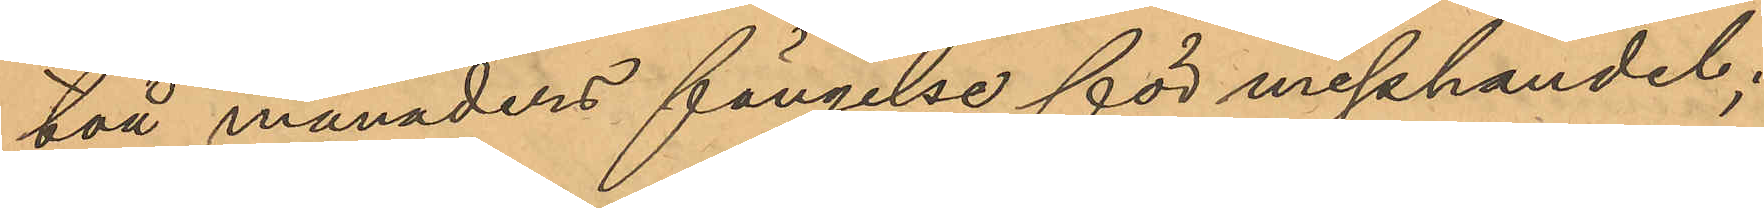två månaders fängelse för misshandel;
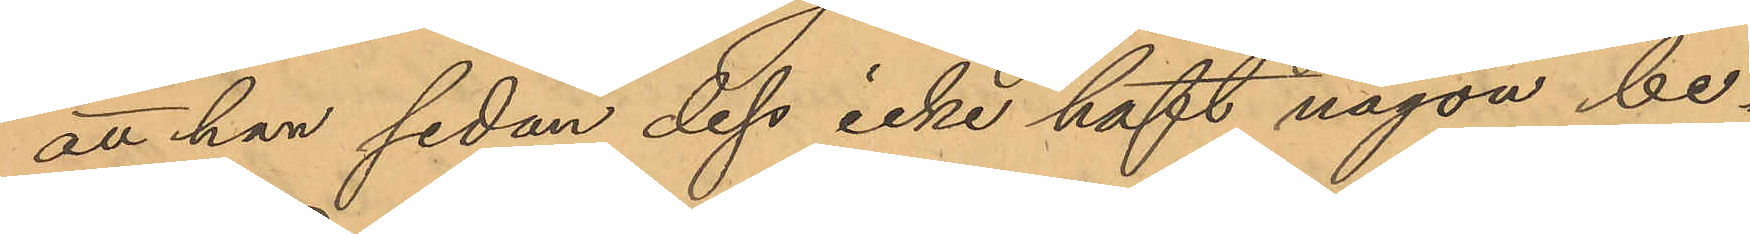att han sedan dess icke haft någon be¬
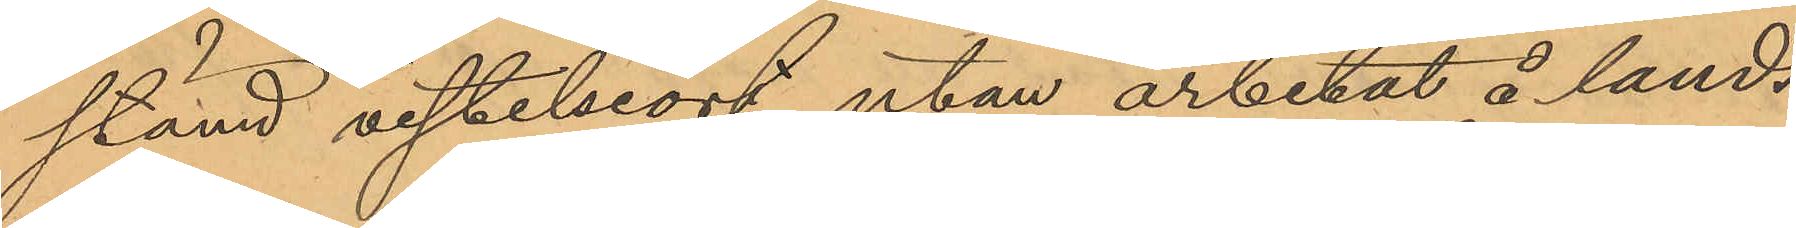stämd vistelseort utan arbetat å lands¬
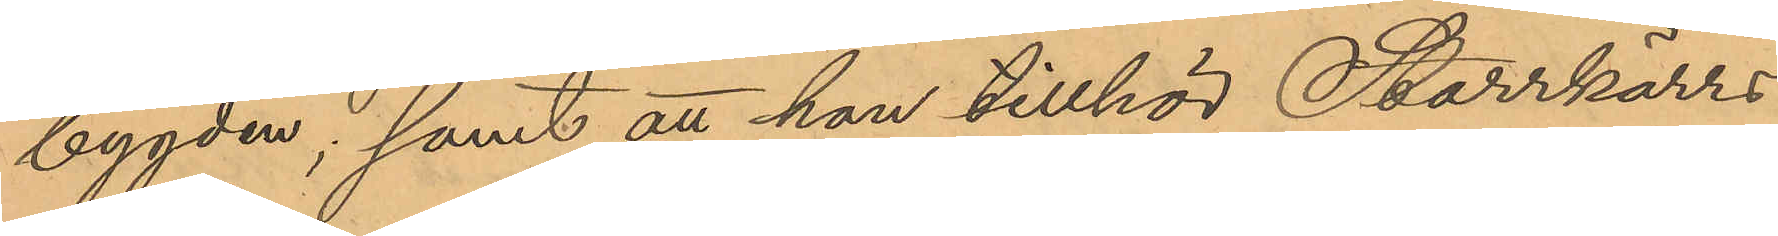bygden; samt att han tillhör Starrkärrs
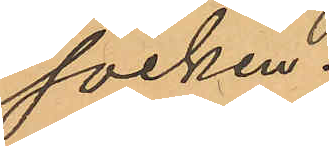socken.
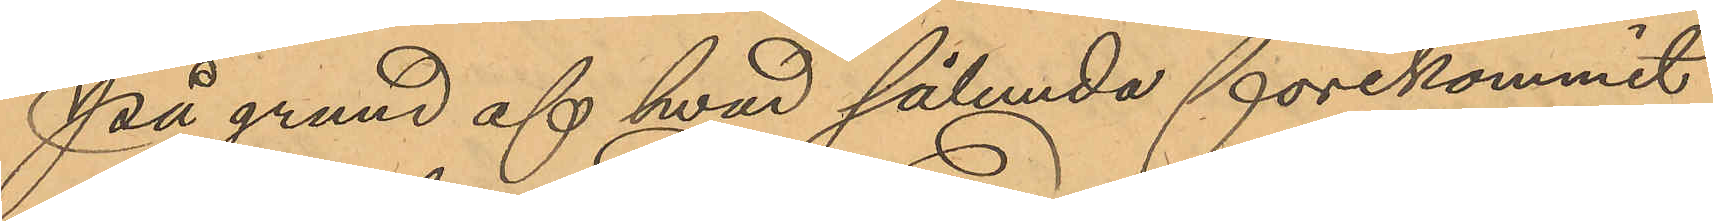På grund af hvad sålunda förekommit
